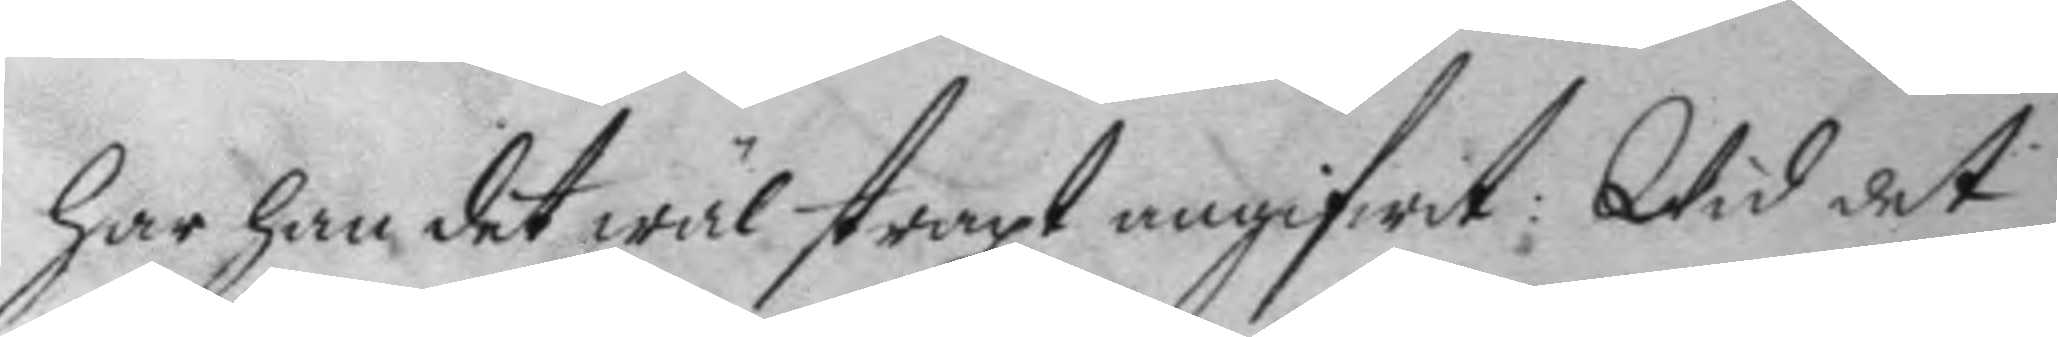har han det wäl straxt angifwit; Wid det
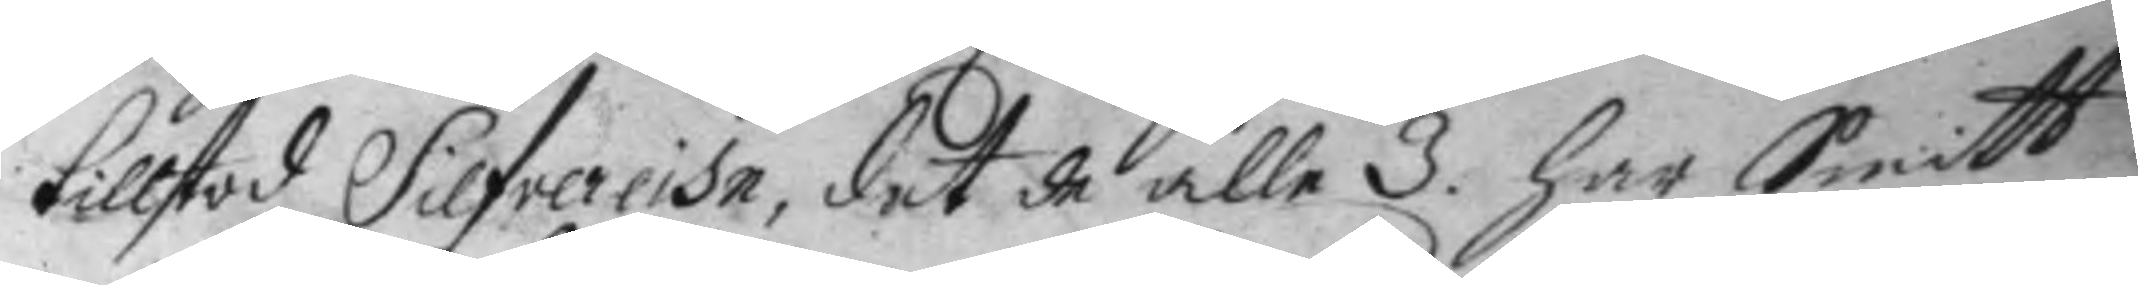tillstod Silfvereihn, det de alle 3. har Smitt
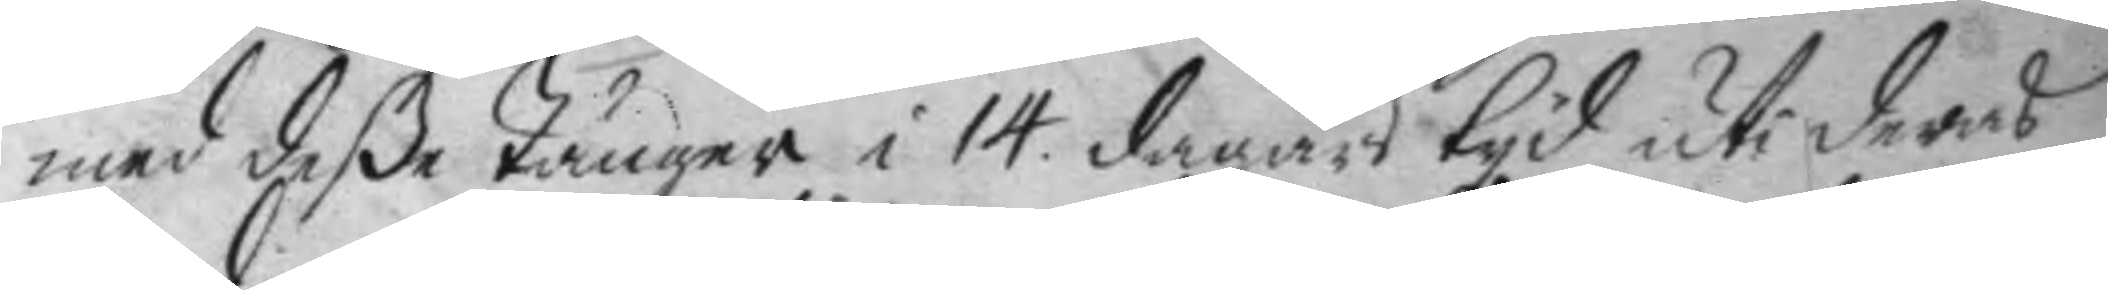med deße Tänger i 14. dagars tyd uti deras
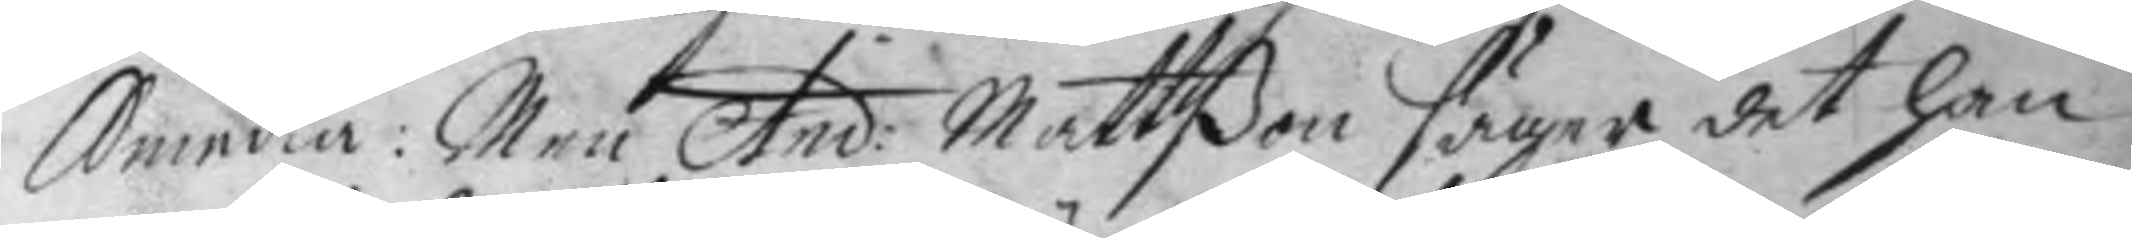Smedia: Men And: Mattßon säger det han 
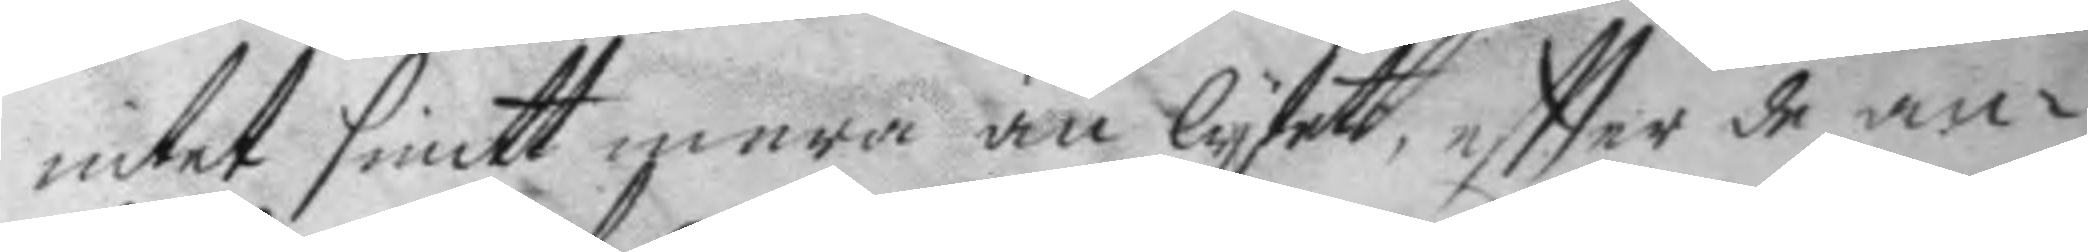intet smitt mera än lytett, eftter de an¬
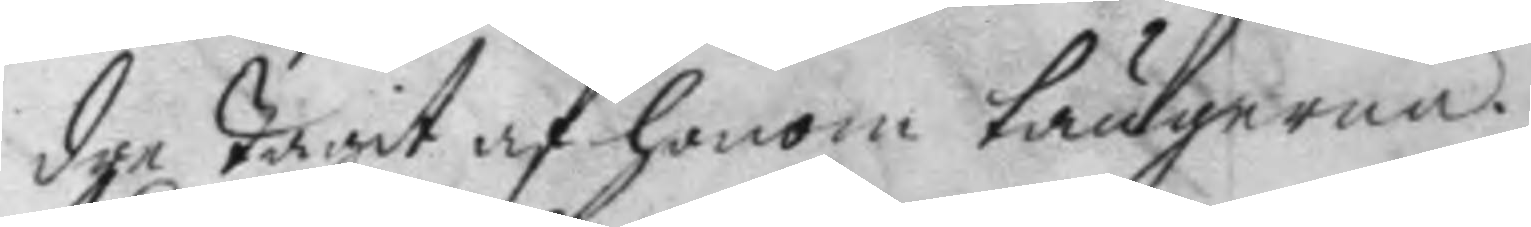dre tagit af honom tängerna.
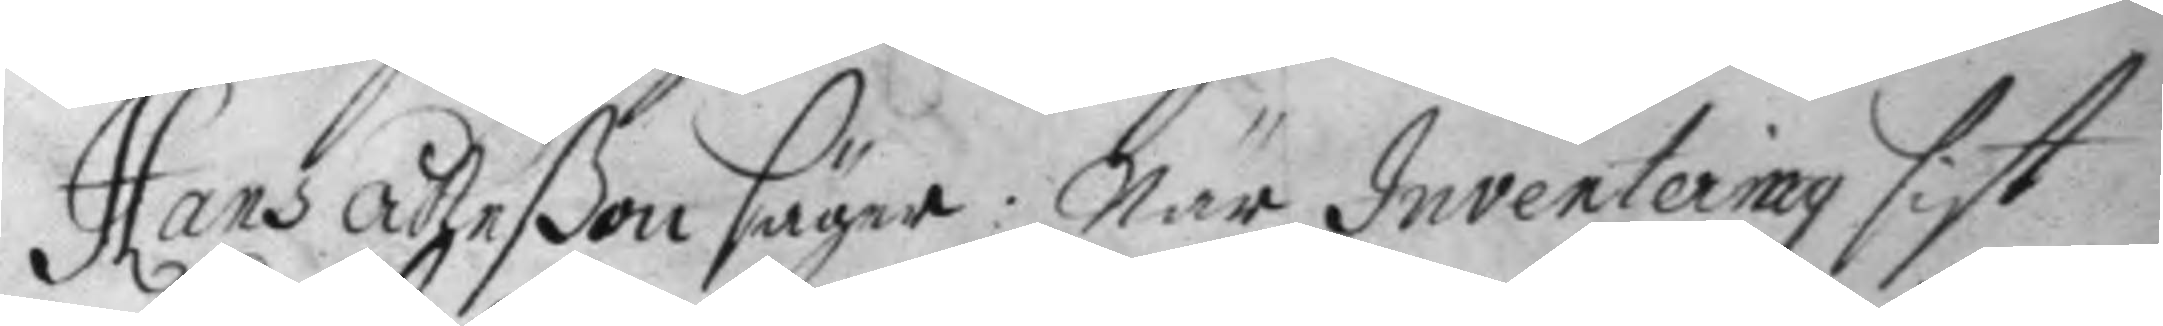Hans Åheßon säger: När Inventering sist
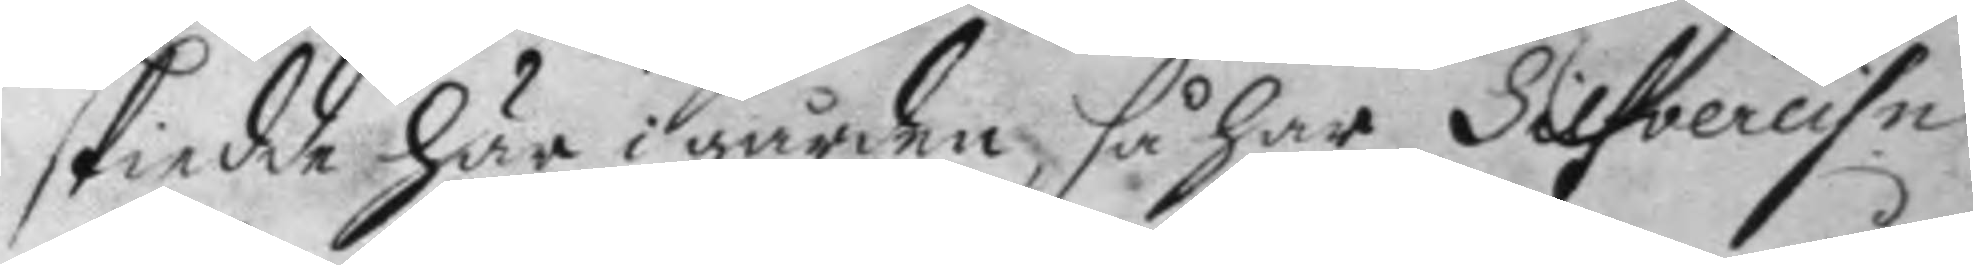skiedde här i gården, så har Siefvereihn
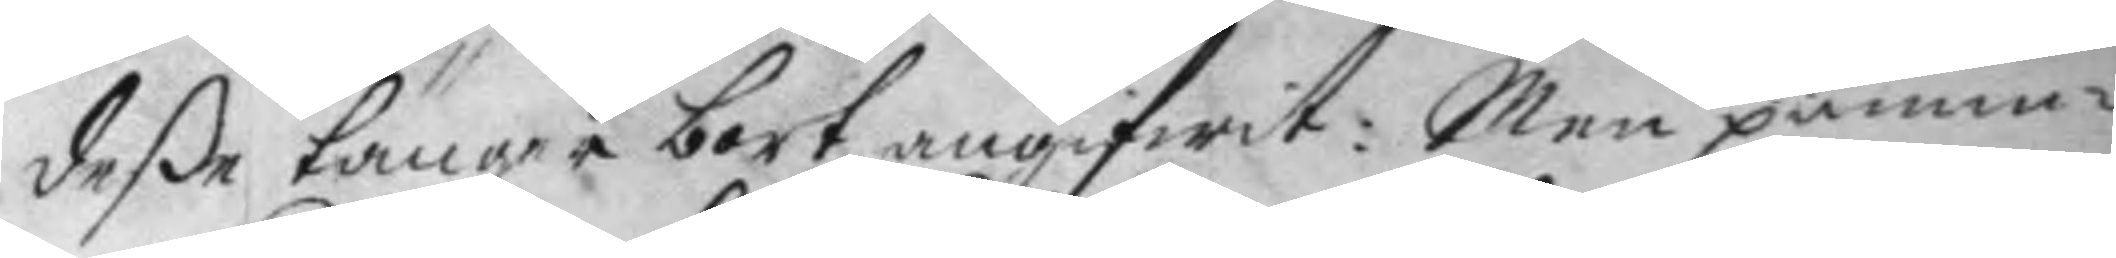deße tänger bort angifwit: Men påmin¬
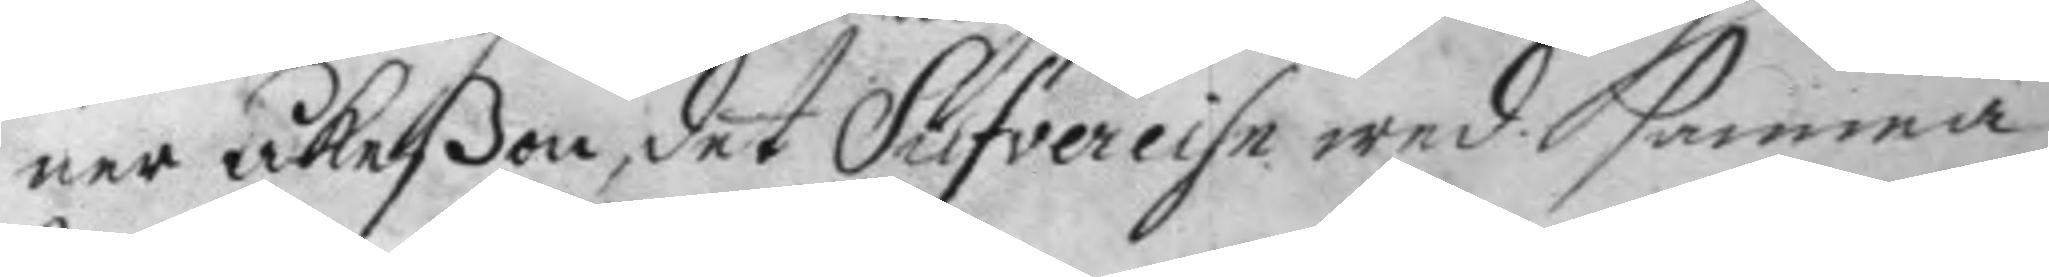ner Åkeßen, det Silfvereihn wed samma
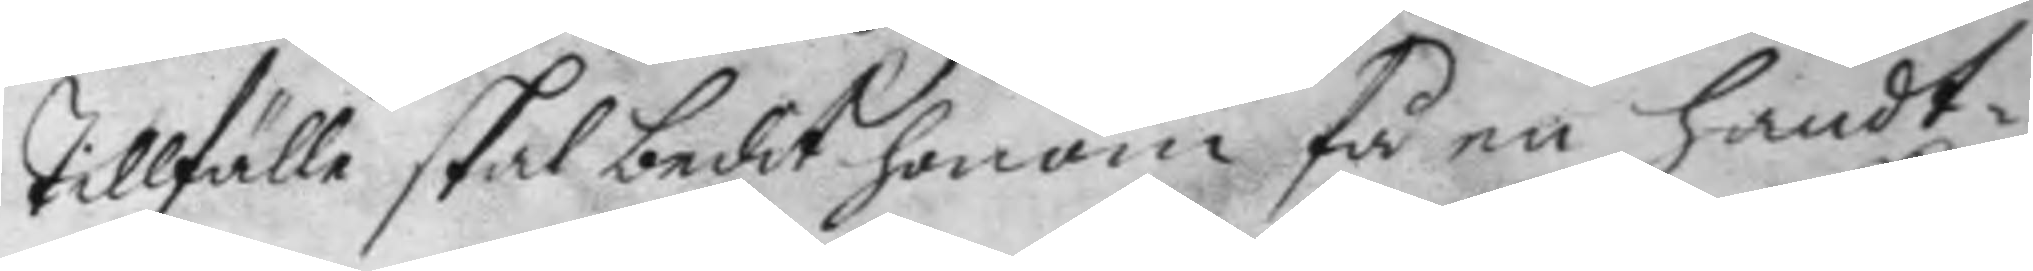tillfälle skal bedit honom få en Handt¬
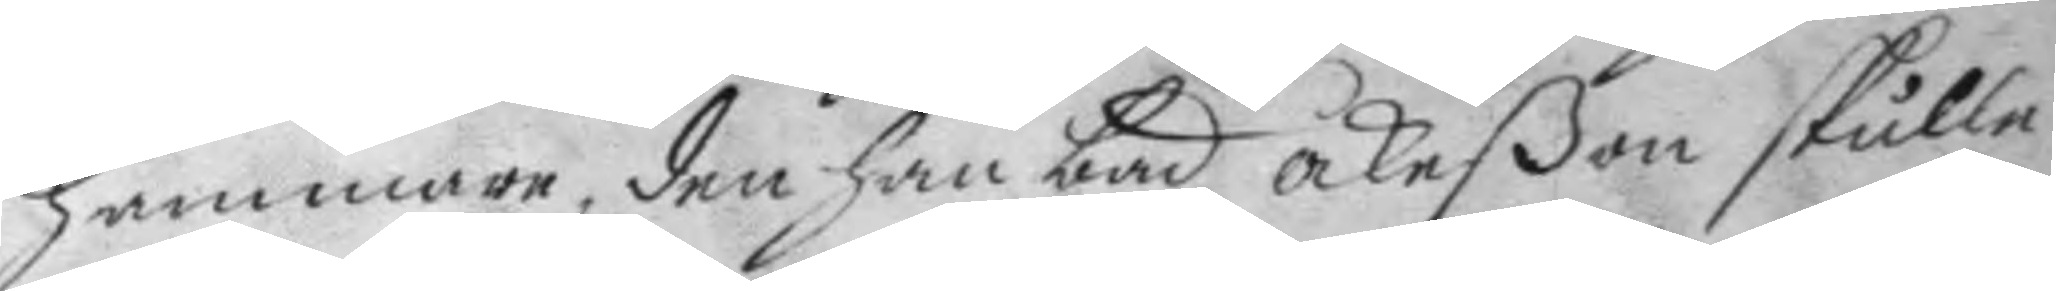hammare, den han bad Åkeßon skulle
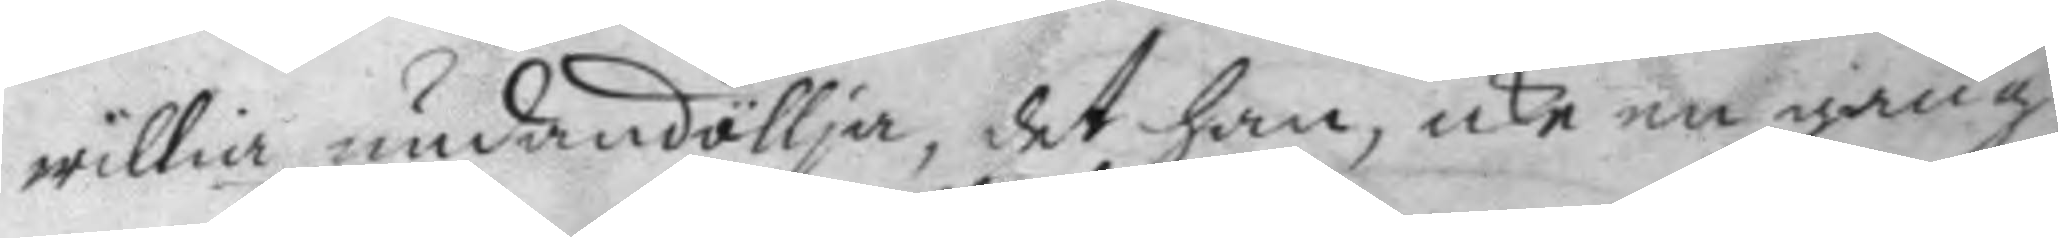willia undandöllja, det han, icke en gång
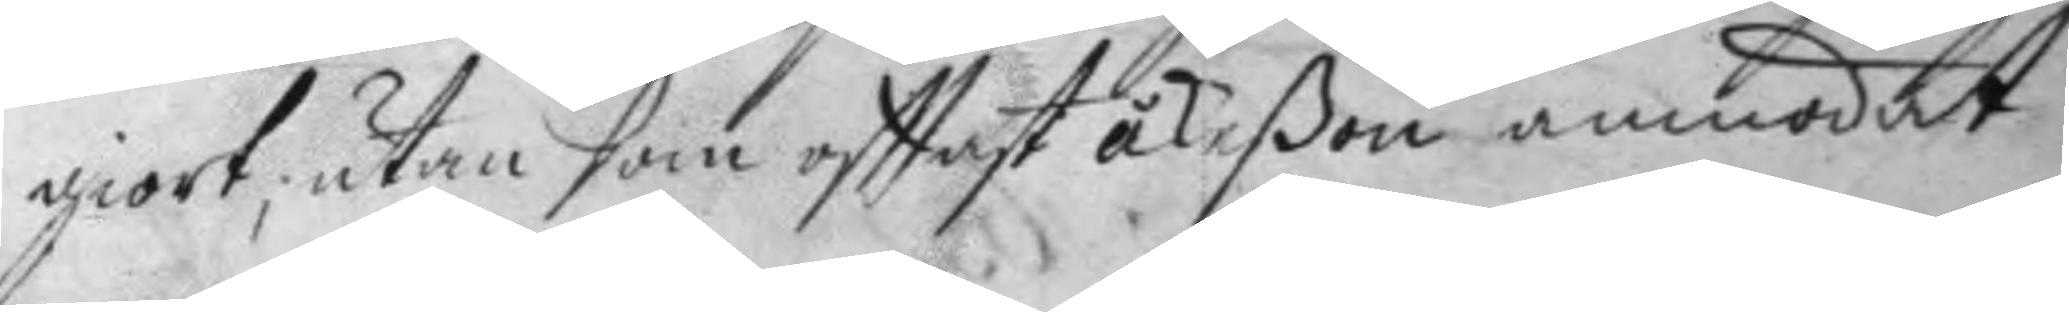giort, utan som ofttast åkeßen anmodat
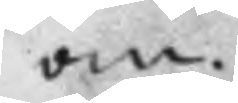om.
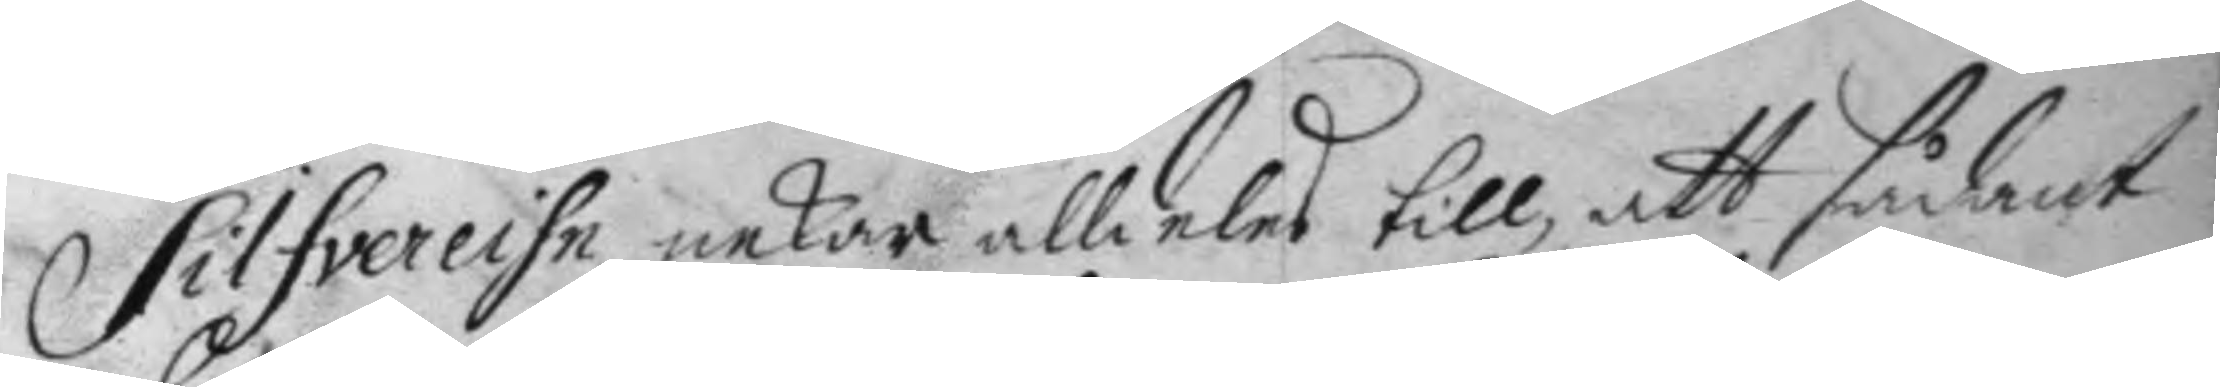Silfvereihn nekar alldeles till, att sådant
